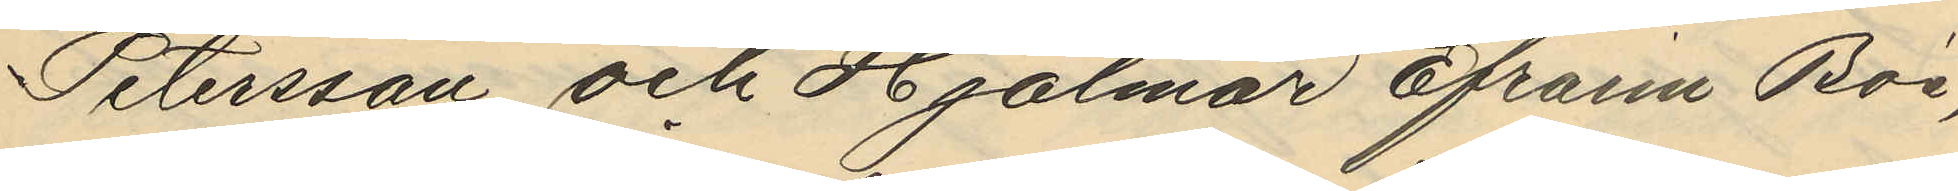Petersson och Hjalmar Efram Böd,
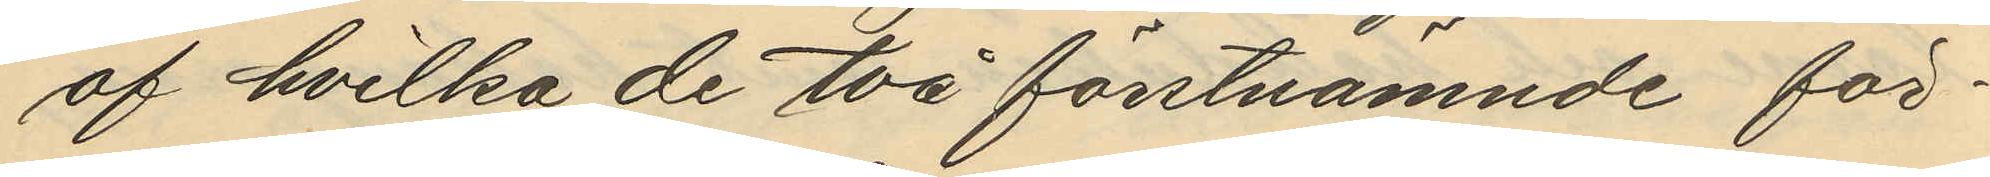af hvilka de två förstnämnde för¬
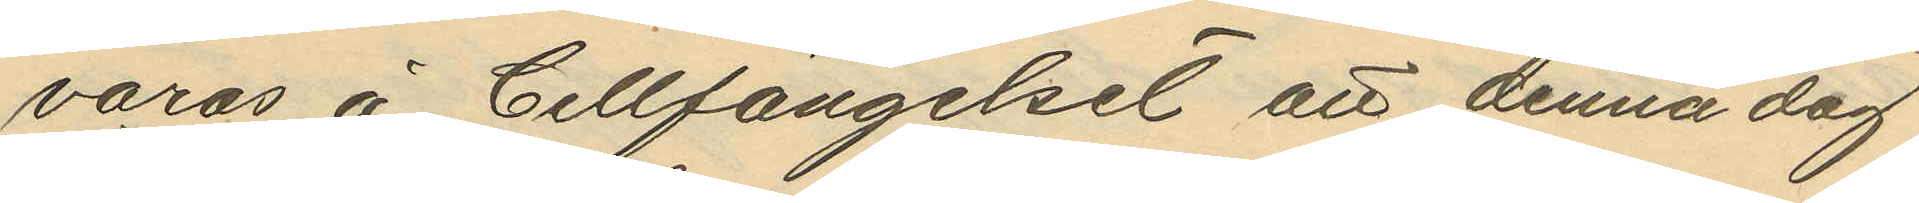varas å Cellfängelset att denna dag
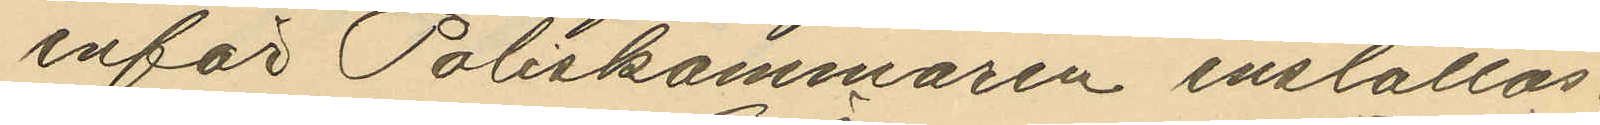inför Poliskammaren inställas.
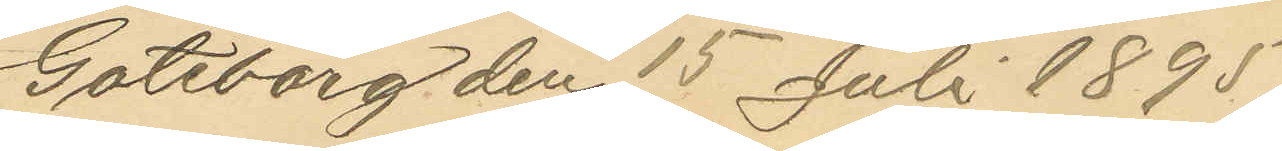Göteborg den 15 Juli 1895.
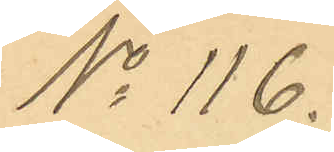No 116.
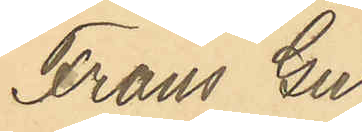Frans Gu¬
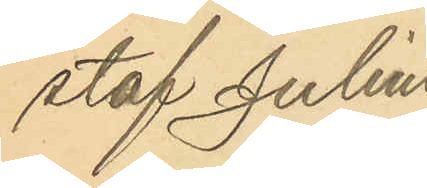staf Julius
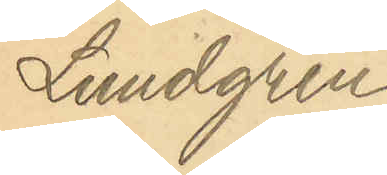Lundgren
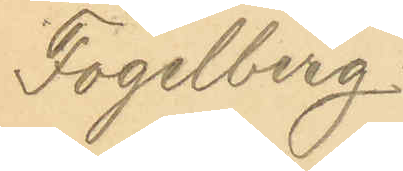Fogelberg.
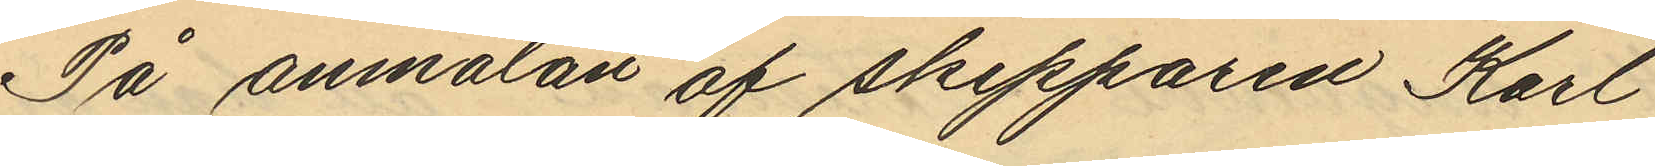På anmälan af skepparen Karl
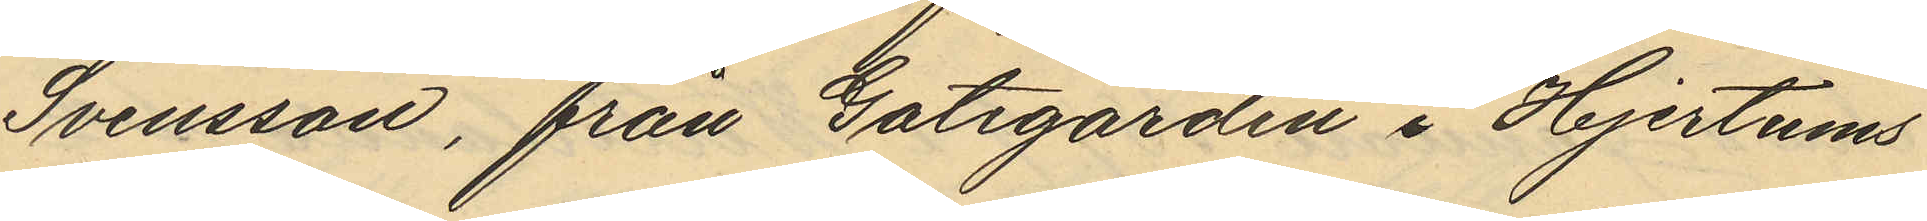Svensson, från Gategården i Hjertums
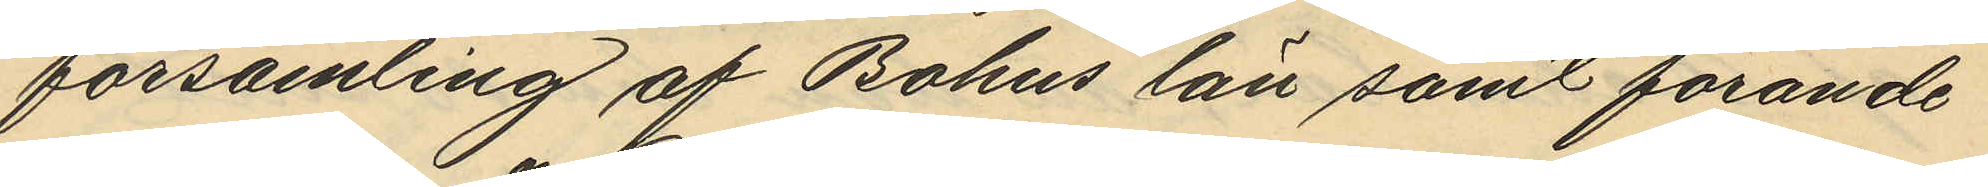församling af Bohus län samt förande
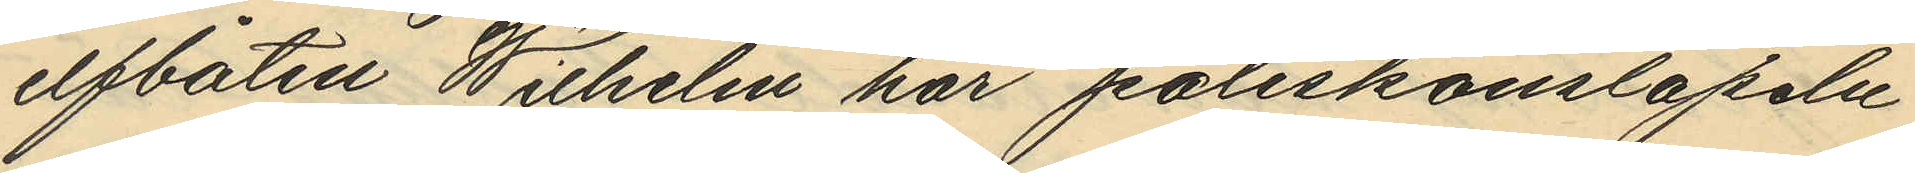elfbåten Wilhelm har poliskonstapeln
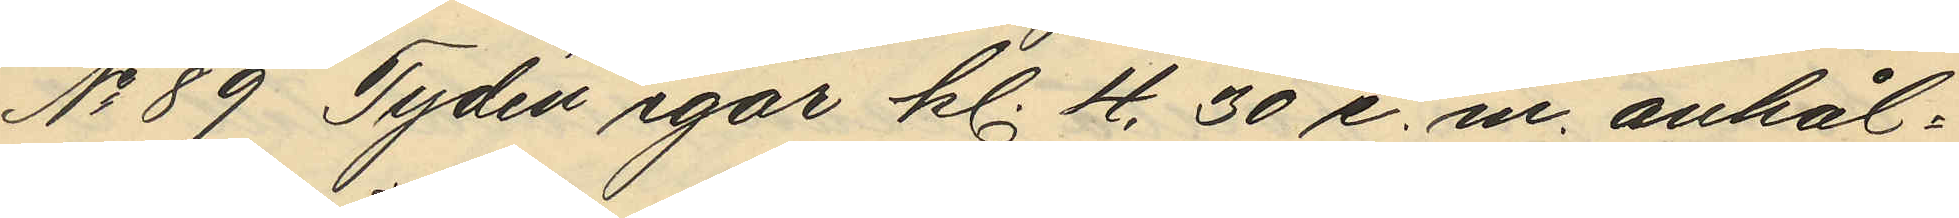No 89 Tydén igår kl. 4,30 e. m. anhål¬
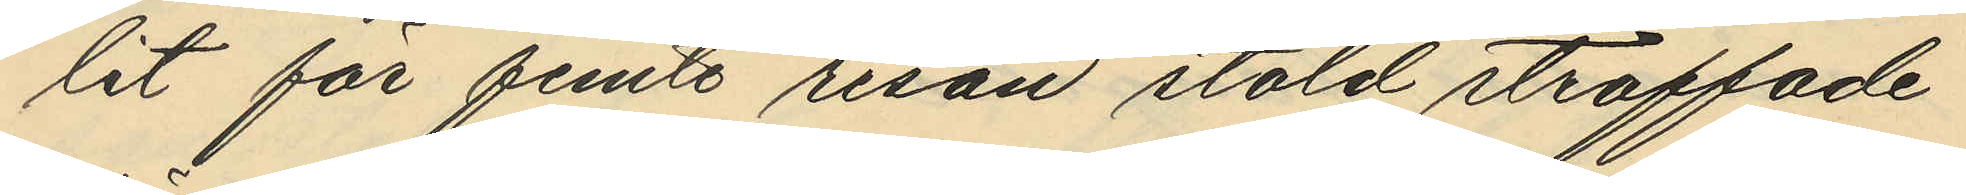lit för femte resan stöld straffade
